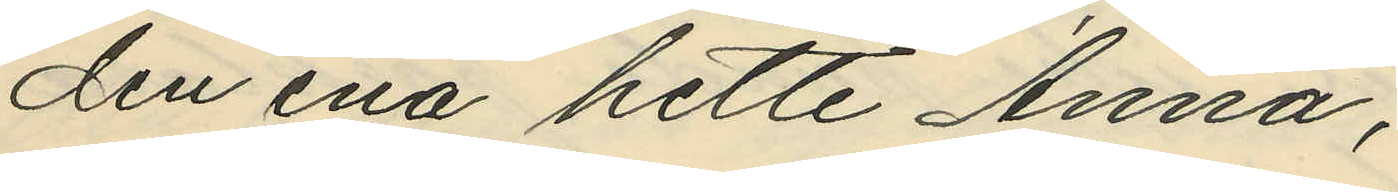den ena hette Anna;
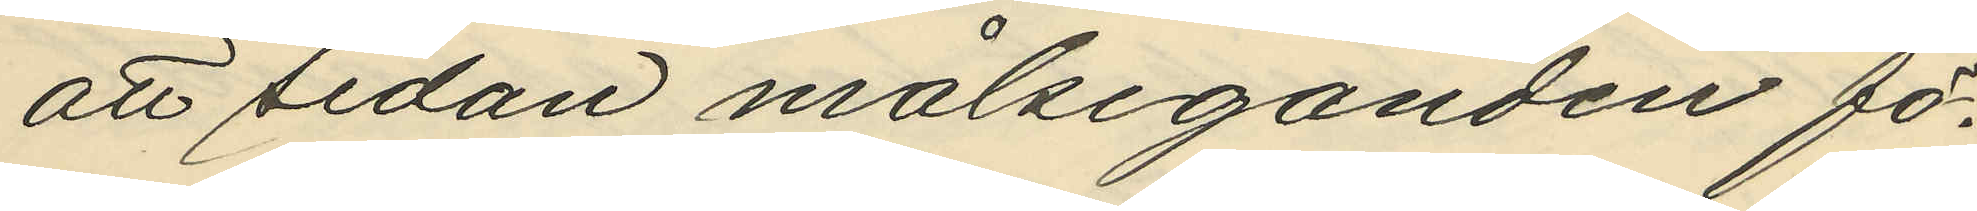att sedan målseganden fö¬
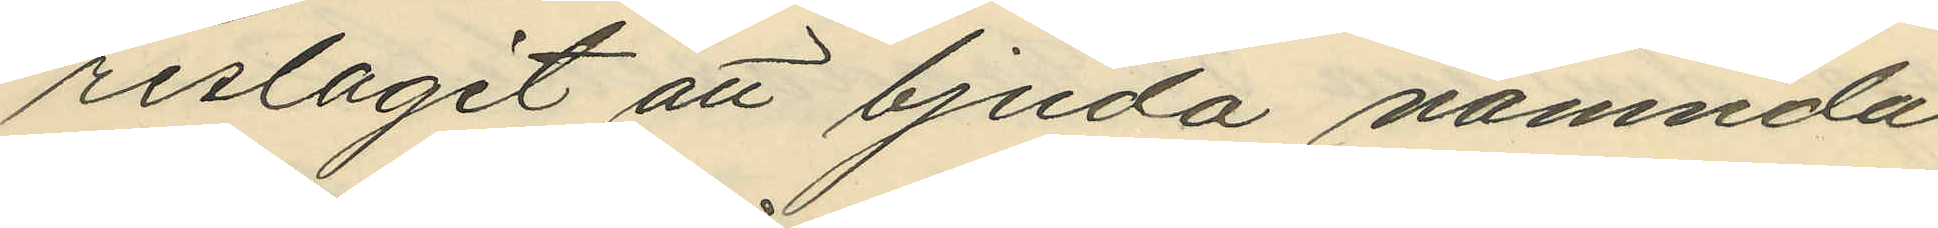reslagit att bjuda nämnda
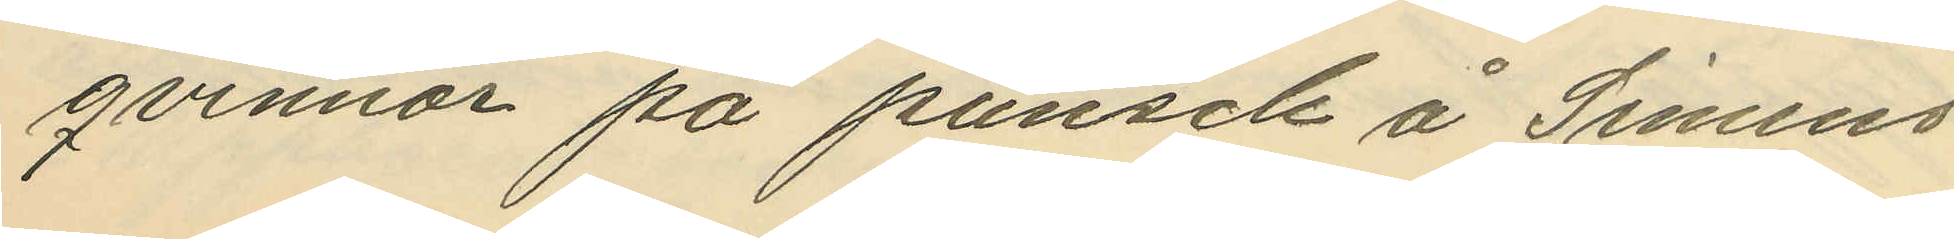qvinnor på punsch å Simens
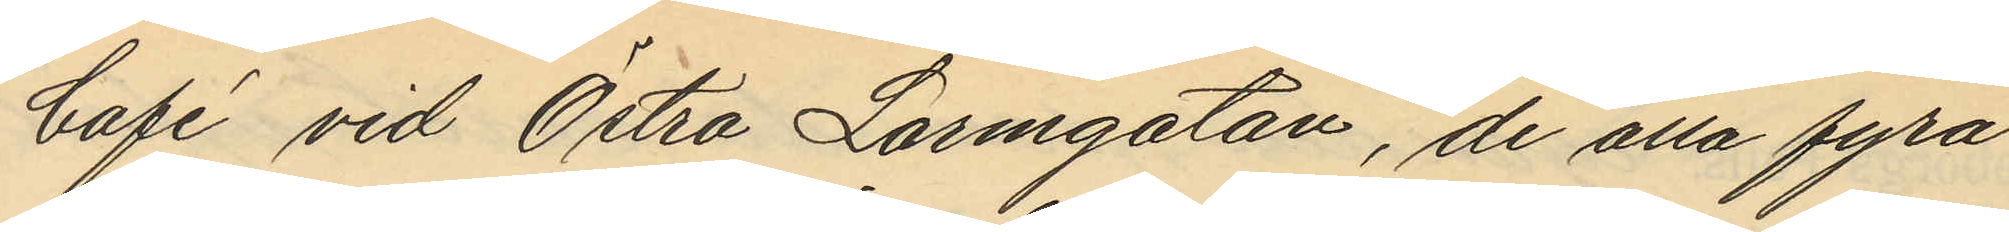Café vid Östra Larmgatan, de alla fyra
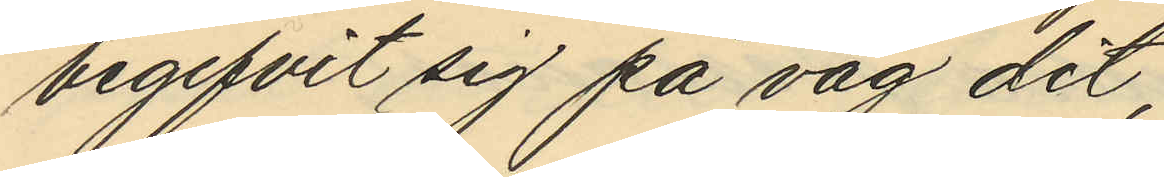begifvit sig på väg dit;
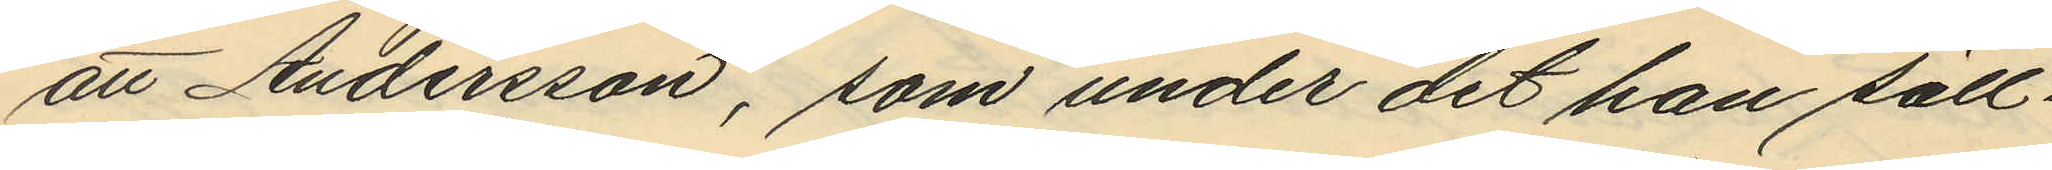att Andersson, som under det han säll¬
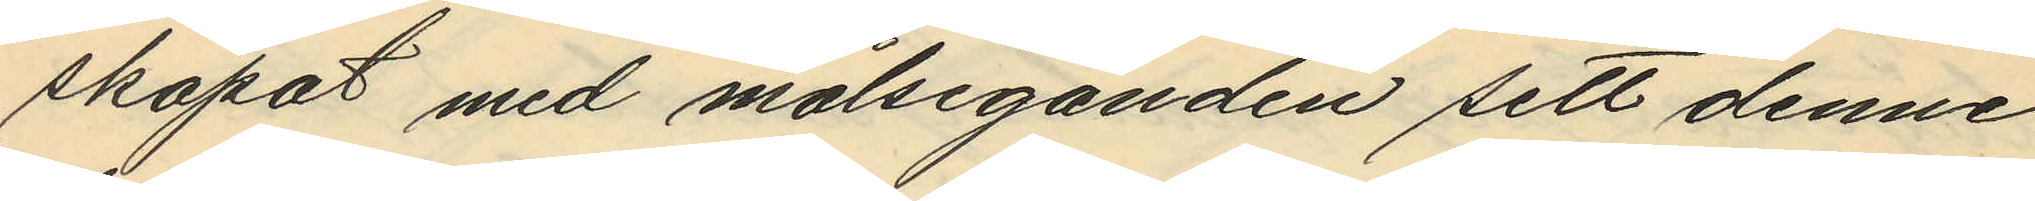skapat med målseganden sett denne
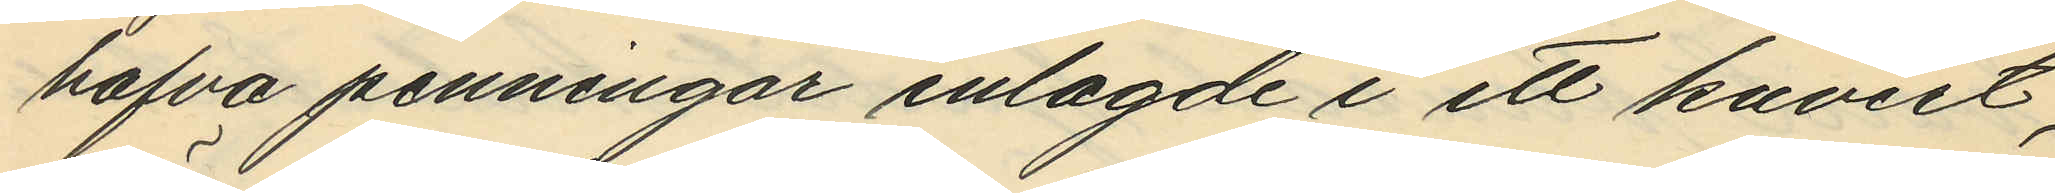hafva penningar inlagde i ett kuvert,
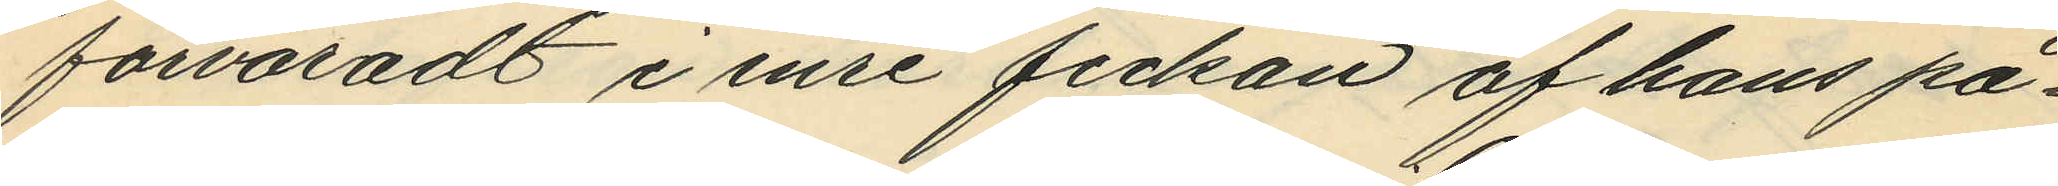förvaradt i inre fickan af hans på¬
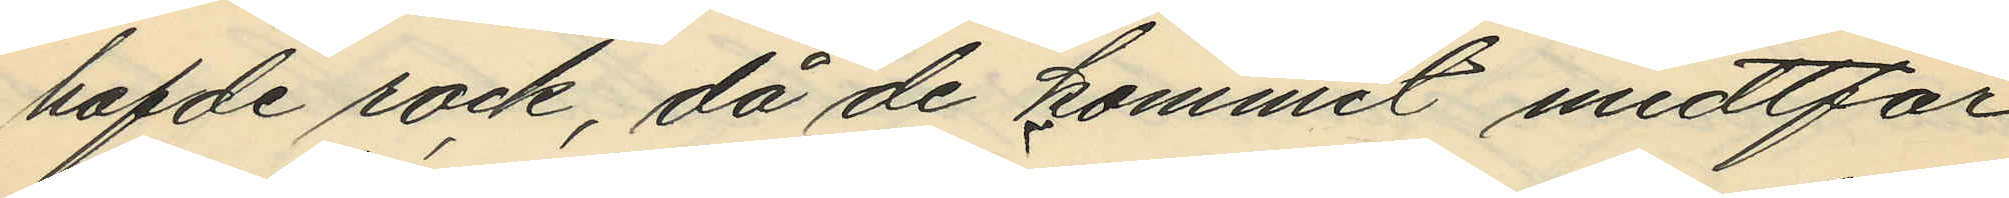hafde rock, då de kommit midtför
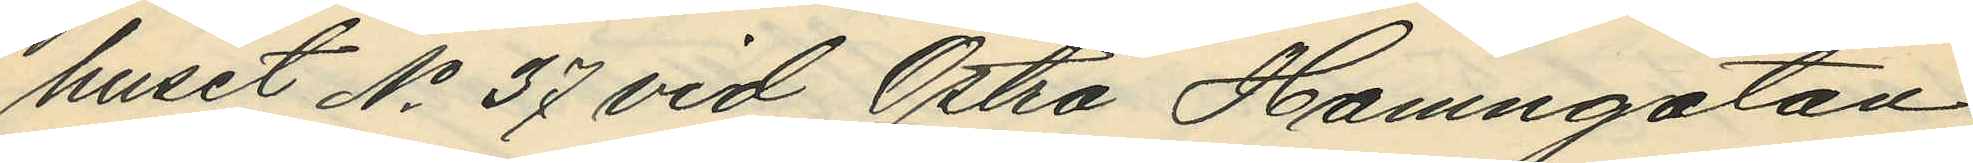huset No 37 vid Östra Hamngatan,
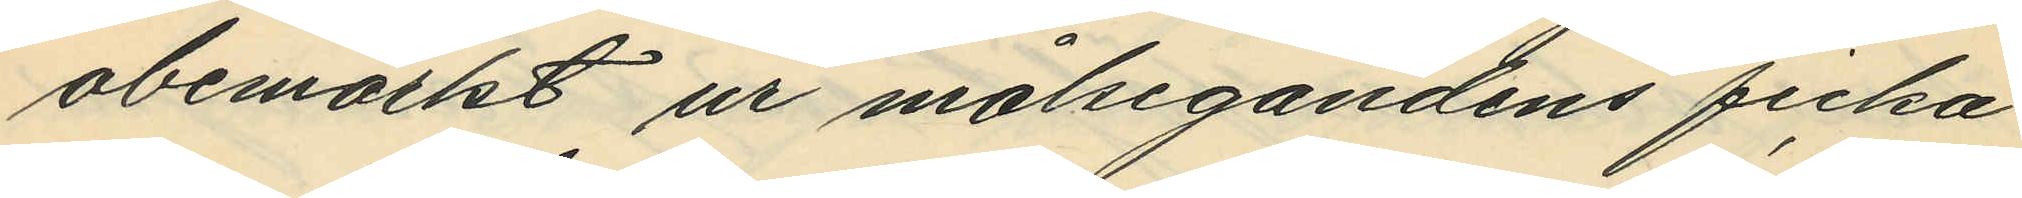obemärkt ur målsegandens ficka
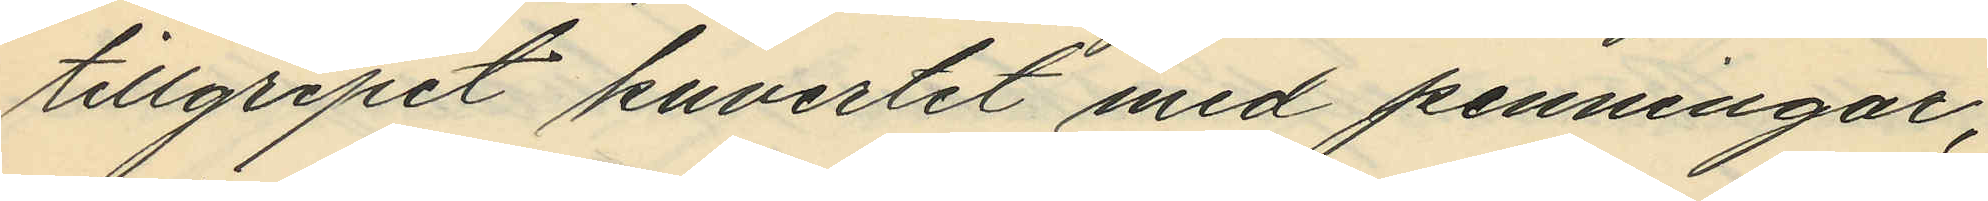tillgripit kuvertet med penningar;
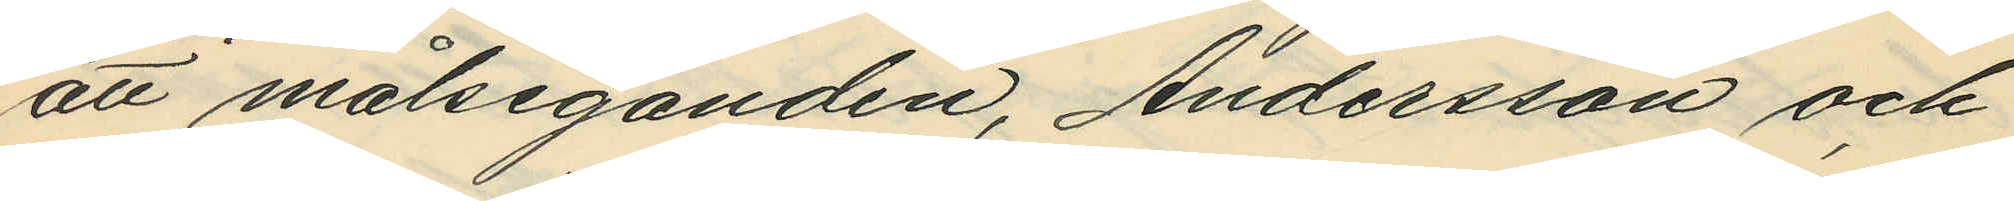att målseganden, Andersson och
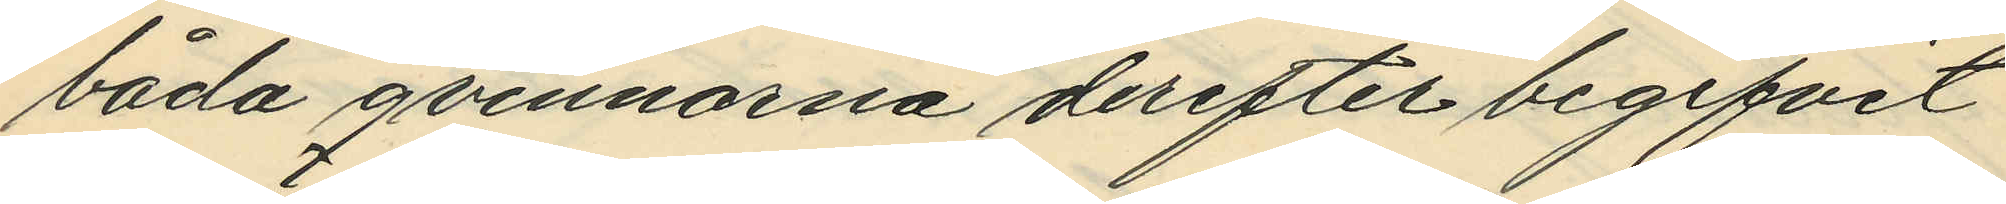båda qvinnorna derefter begifvit
